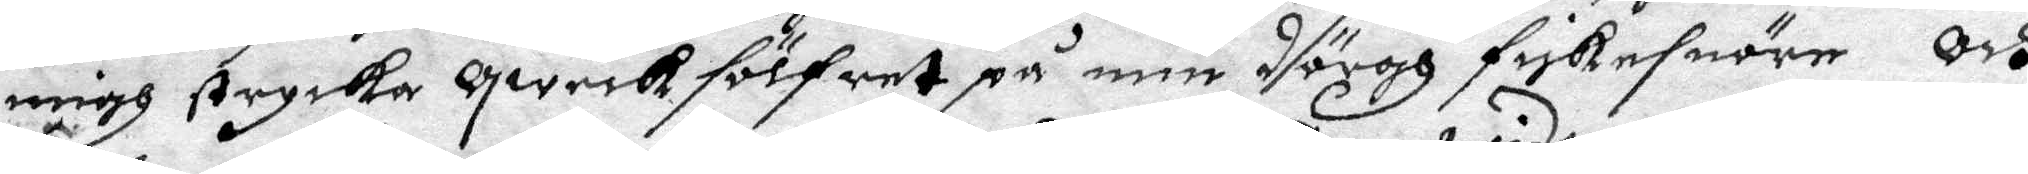migh strycka qweck folfret på min dörgh fiskesnöre Och
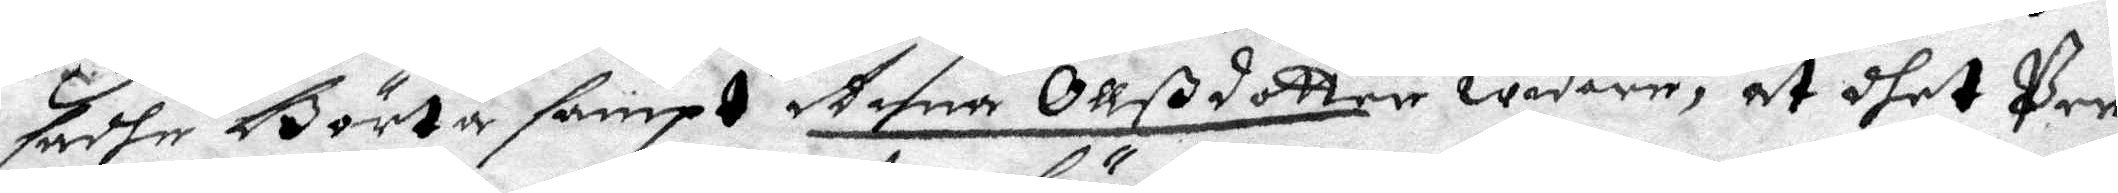sadhe Börta sampt Anna Ollßdotter widare, at dhet Per
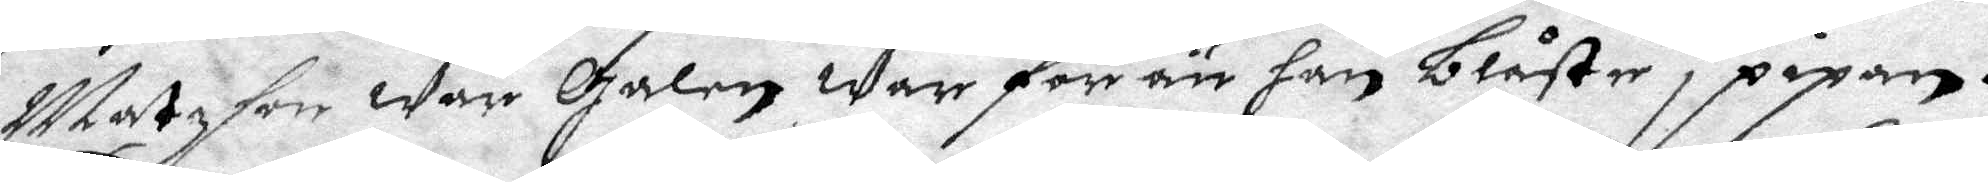Matzson war Galen War för än han blåste i pipan.
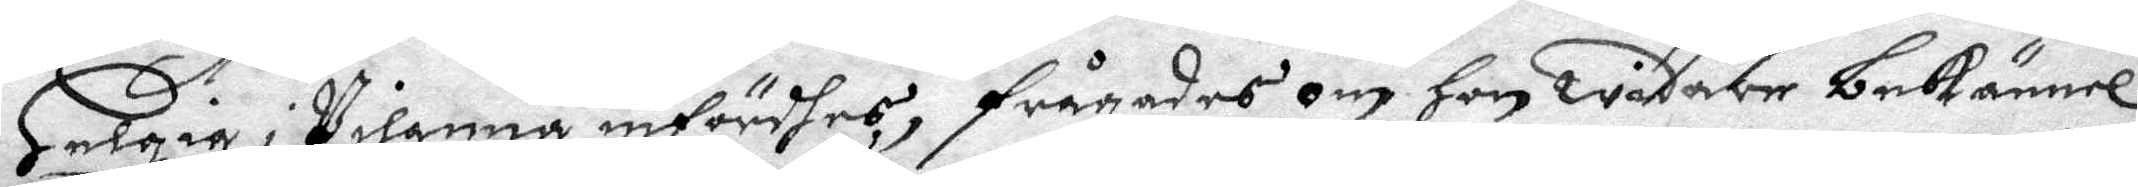Helgia i Pilanna infördhes, frågadhes om Hon wådare bekännel¬
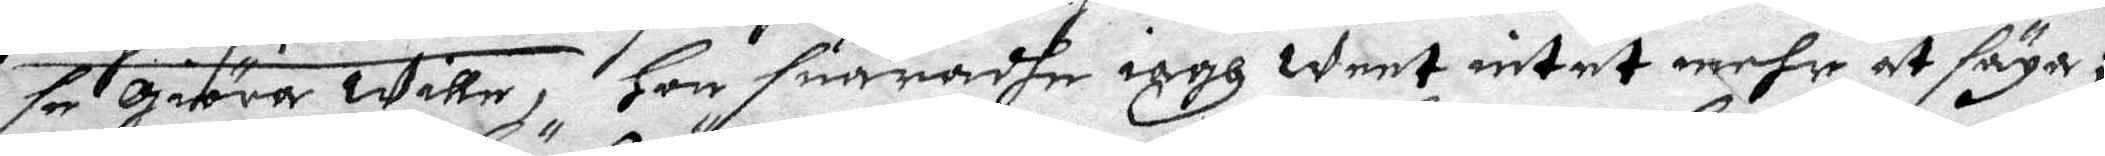se giöra Wille, Hon suaradhe iagh Weet intet mehr at säga;
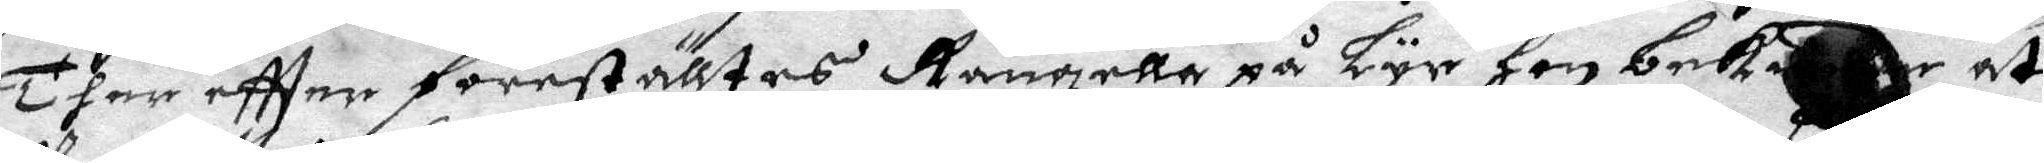Ther eftter föreställtes Rangella på Lyr hon bekiendhe at
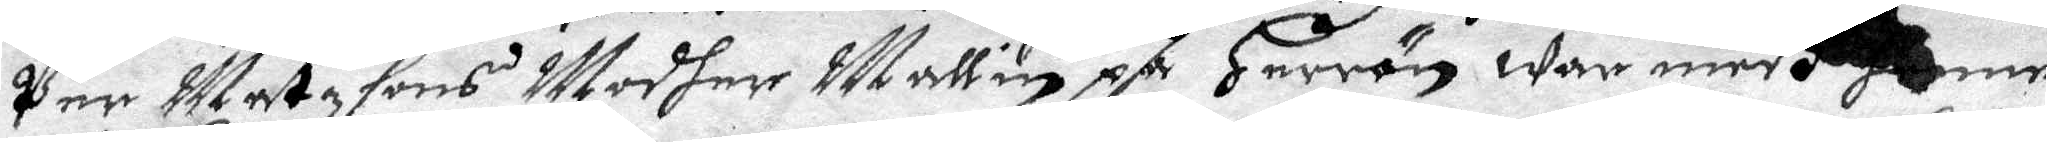Per Matzsons Modher Mallin på Herrön war medh henne
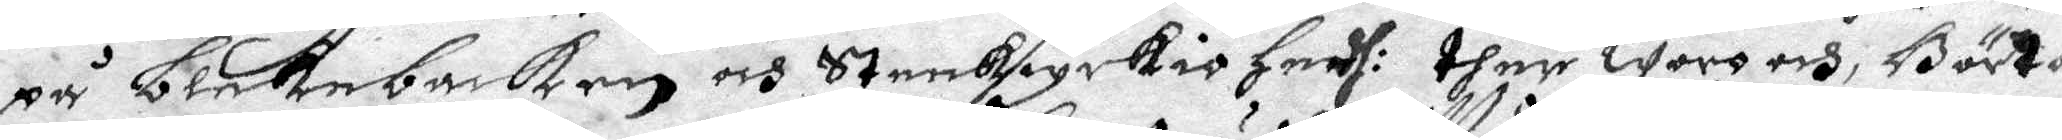på Blekebacken och Stenkiyrkio Hedh: ther woro och, Börta
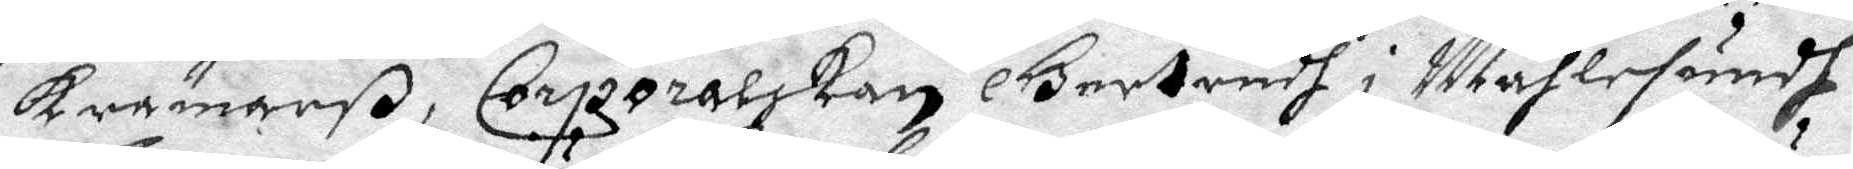krämarß, Corporalskan Gertrudh i Måhlesundh,
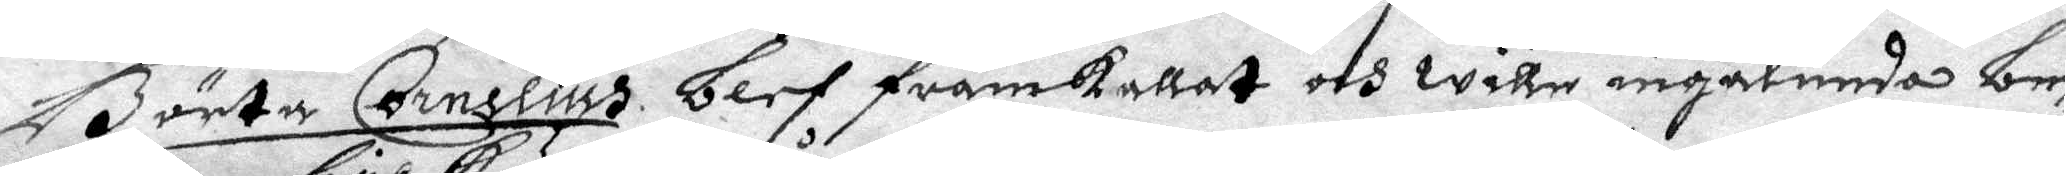Börta Cornelius blef framkallat och wille ingalunda be¬
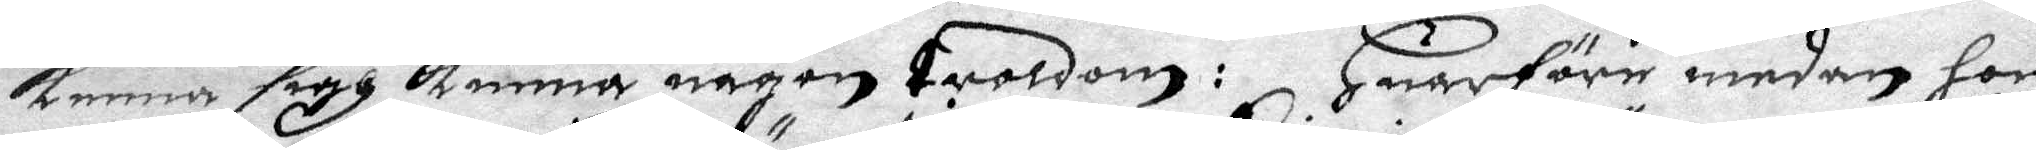kenna sigh kunna någon troldom: Huarföre emedan hon
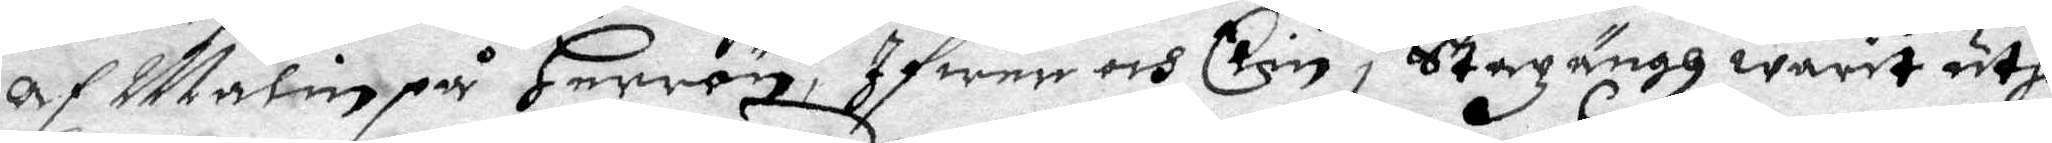af alin på Herrön, Ifwer och Elin i Stazängh warit uth¬
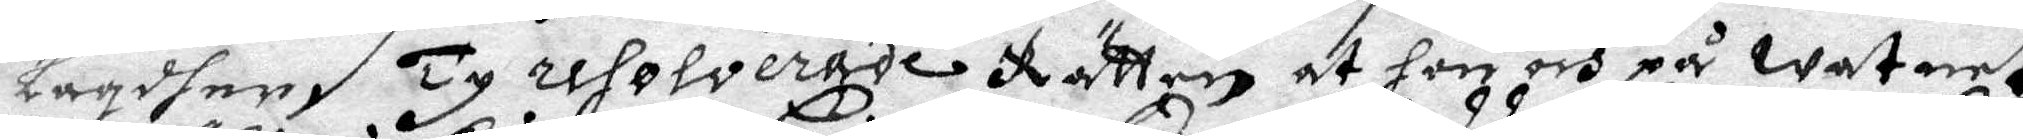lagdher. Ty resolverade Rätten at hon och på watnet
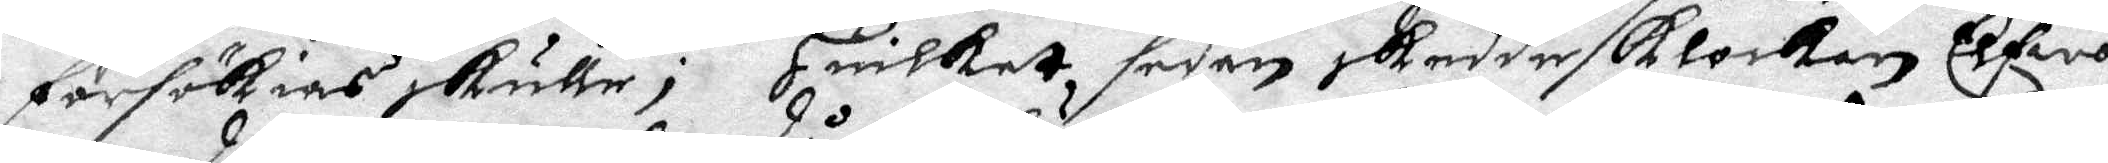försökias skulle; Huilket sedan skedde klockan Elfwa
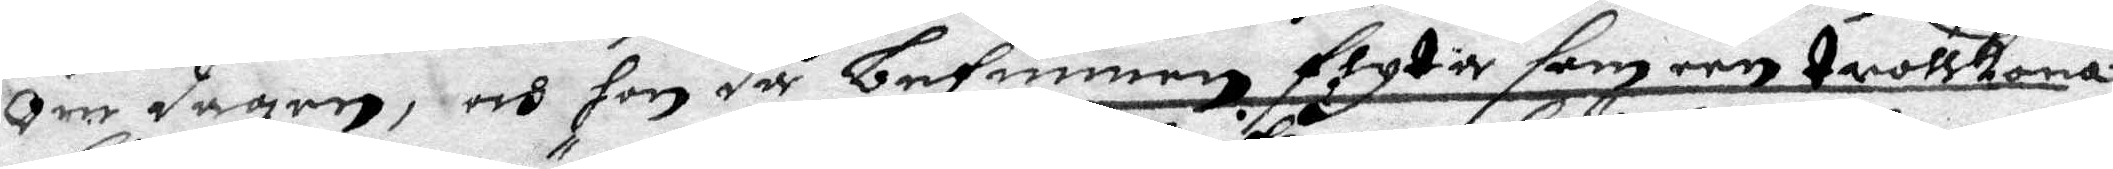om dagen, och hon så befunnen flyta som een trollkona
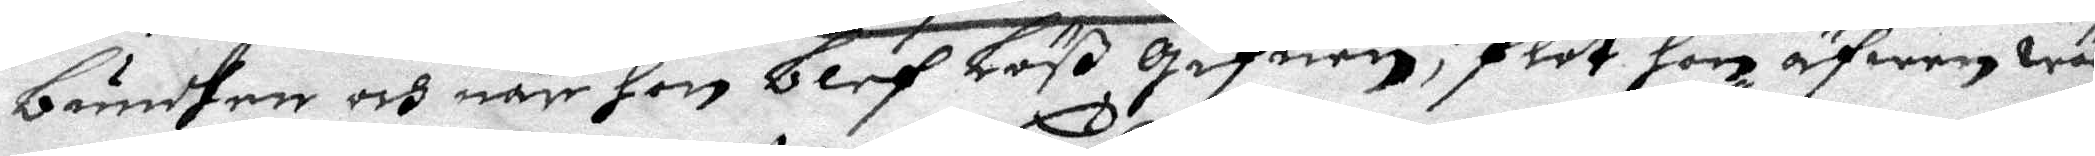bundhen och när hon blef löß gifwen, flöt hon äfwen wäl
